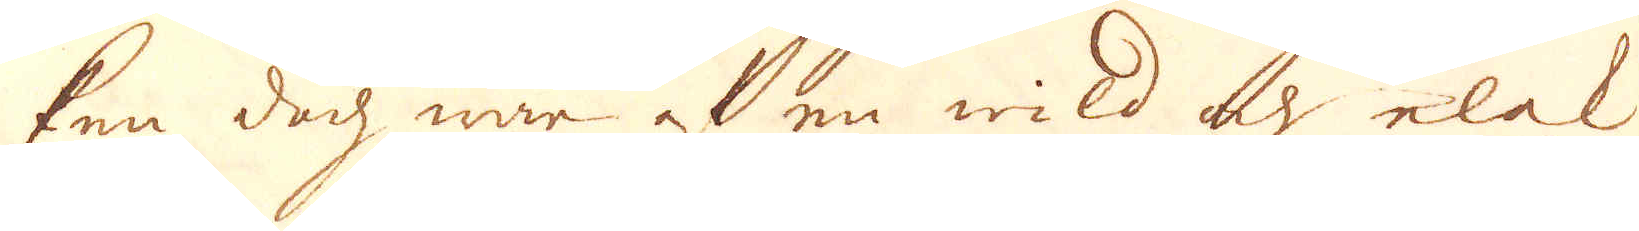ken doch war af en wild och elak
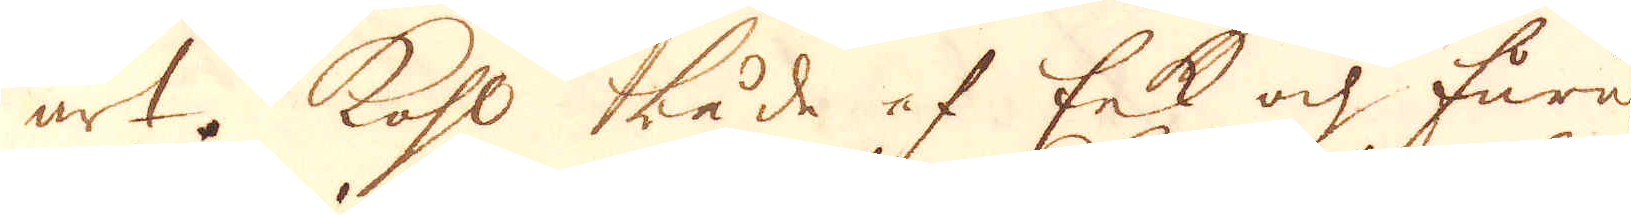art. Kohl både af Eek och furu
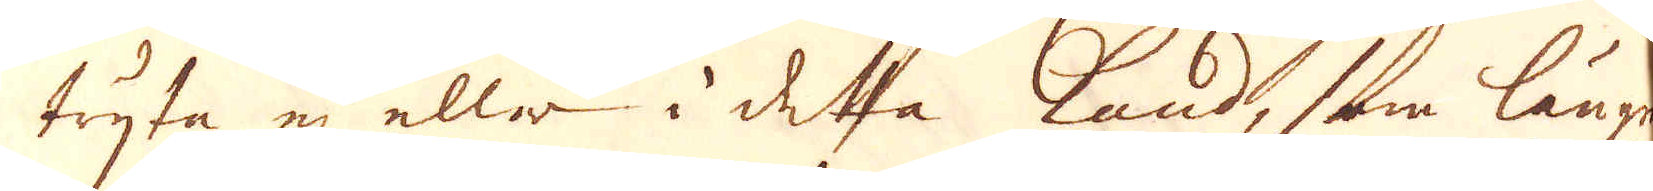tryta ej eller i detta Land, som längre
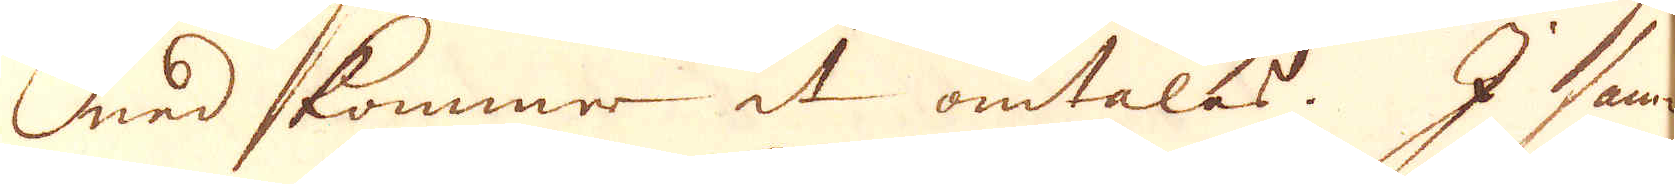ned kommer at omtalas. I sam-
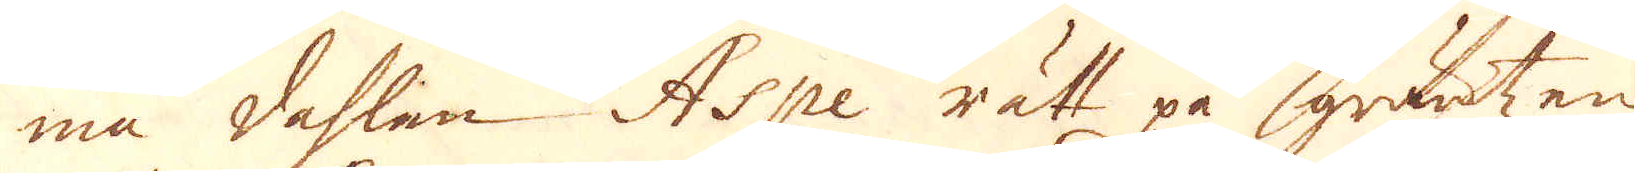ma dahlen Aspe rätt på gräntzen
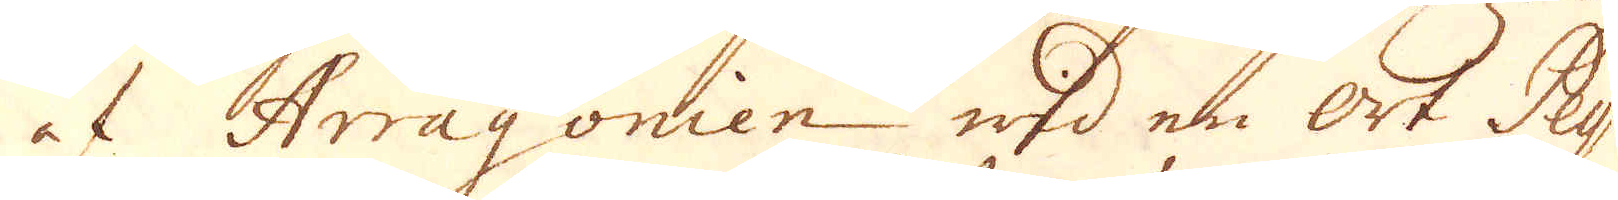at Arragonien wid en Ort Pey-
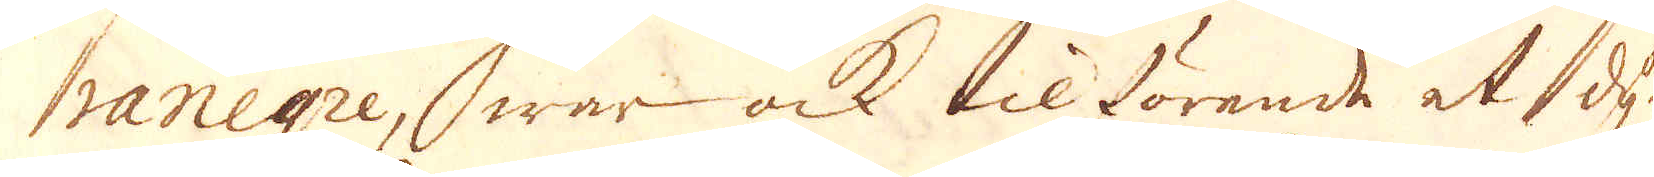ranegre, war ock tilförende et dy-
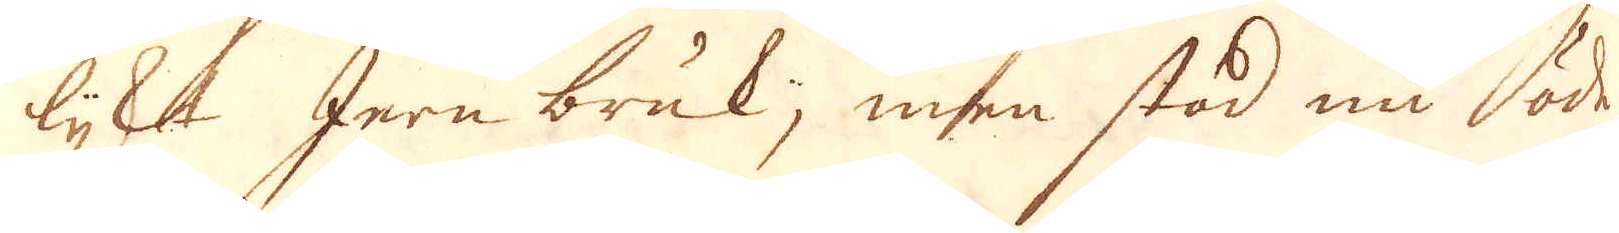lijkt Jern bruk; men stod nu öde.
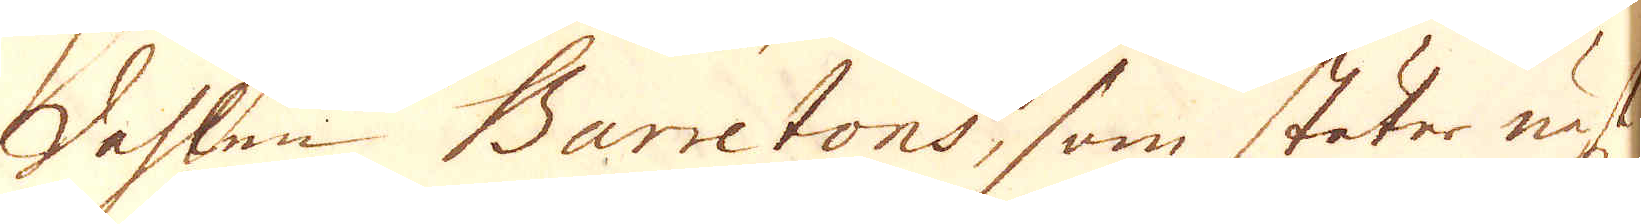Dahlen Barretons, som stöter näst-
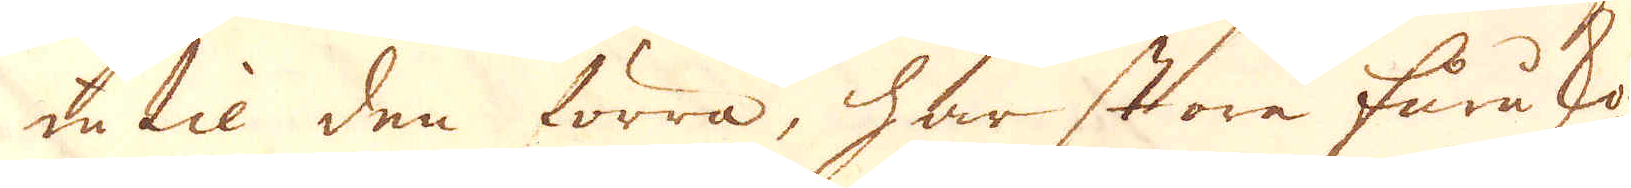in til den förra, har store furu sko-
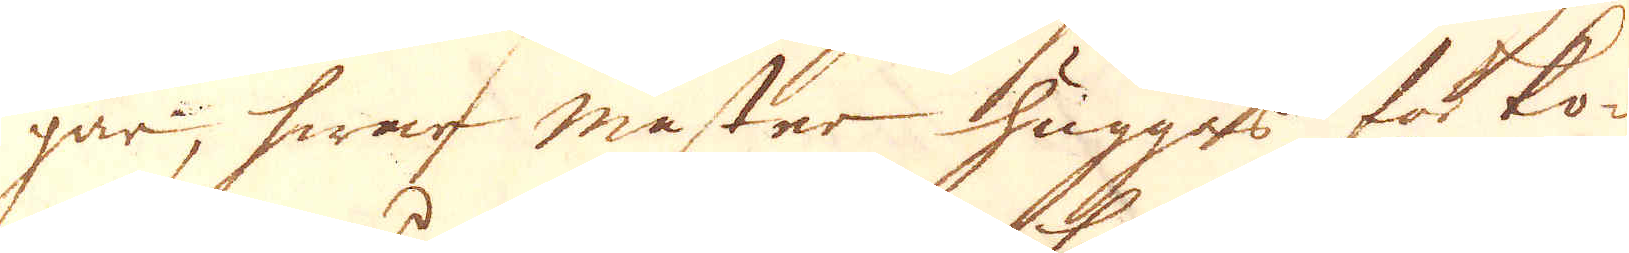gar, hwar master hugges för ko-
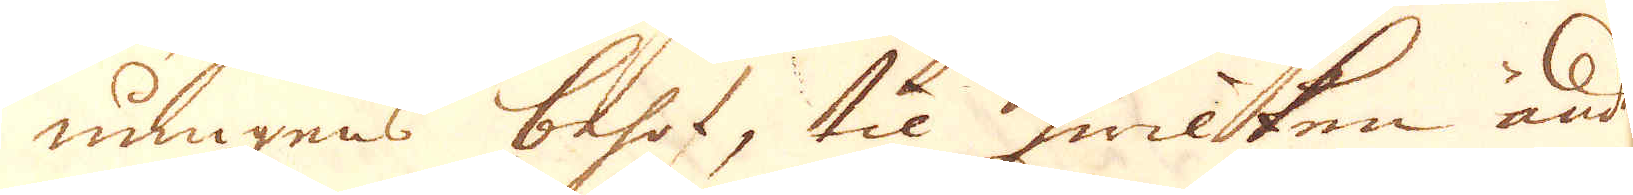nungens behof, til hwilken ända
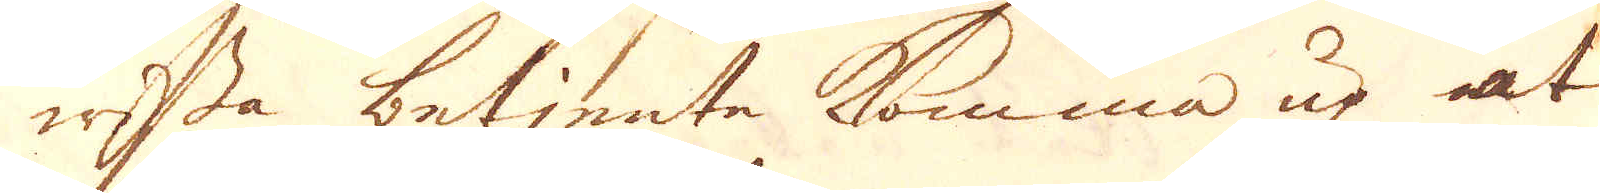wissa betjente komma up at
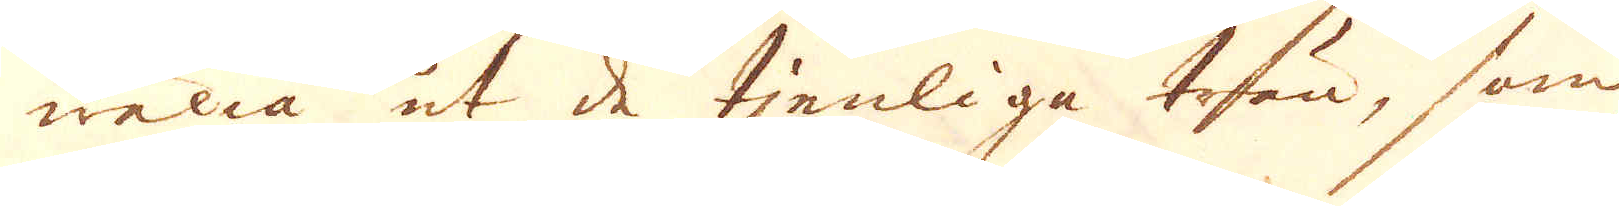wälia ut de tjenliga trän, som
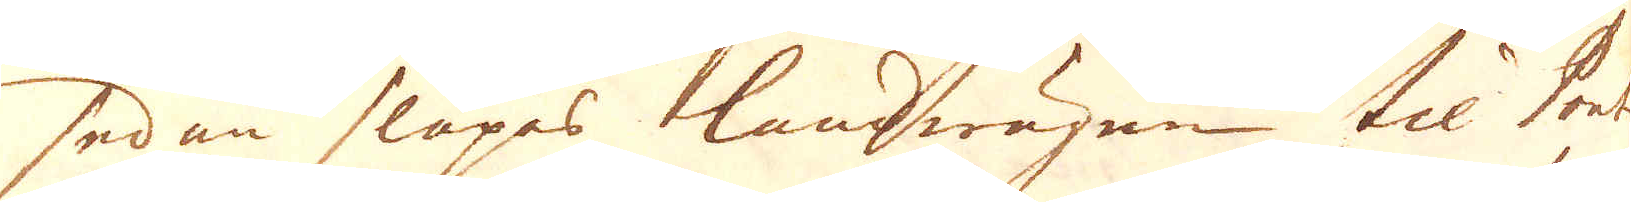sedan släpes landwägen til Port
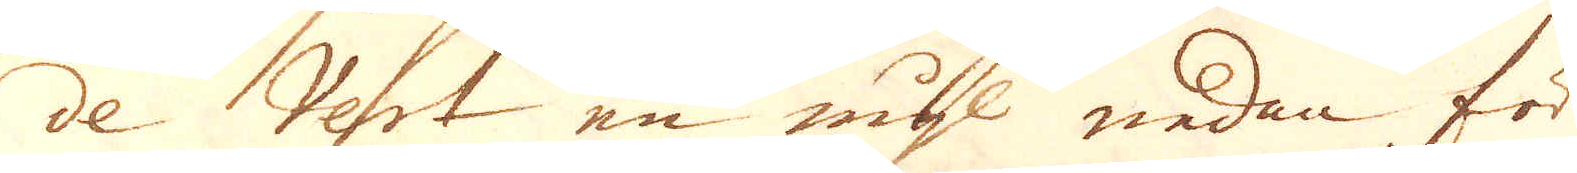de Vert en mijl nedan för
